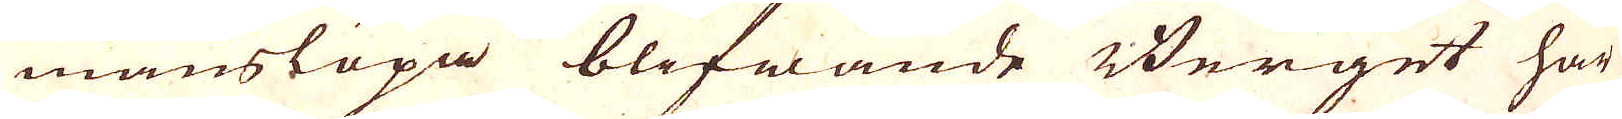manslöpa blifwande Berget här
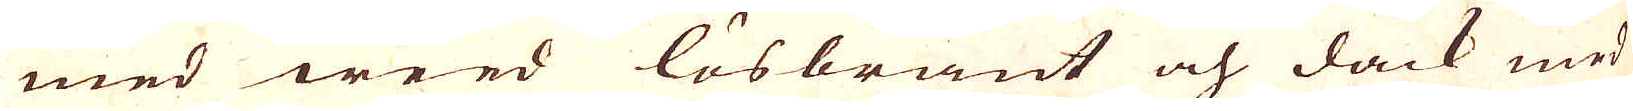med weed lösbränt och dock med
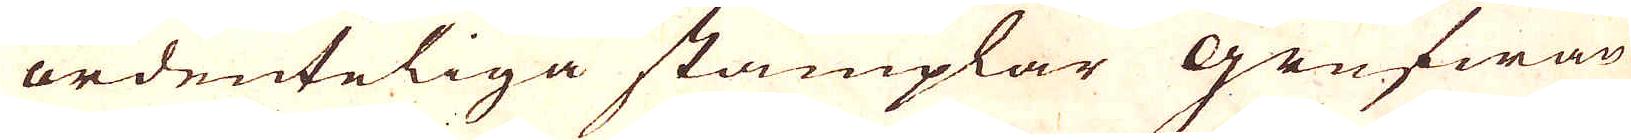ordenteliga stämplar geufwan
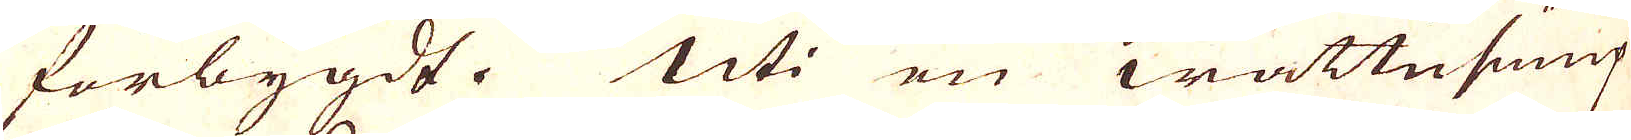förbygdt. Uti en wattupump
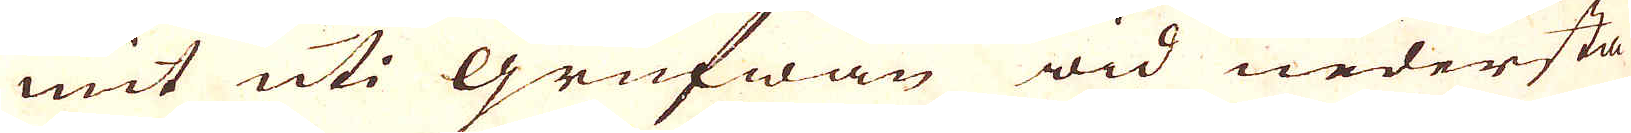mit uti Grufwan wid nedersta
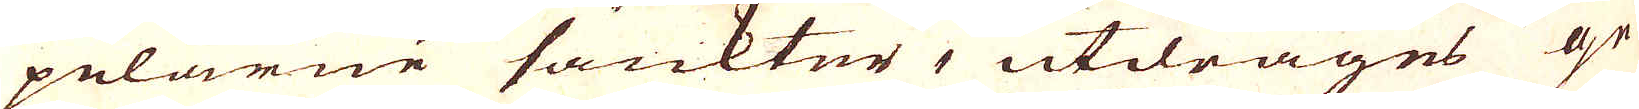pelarne sänkter, utdrages ge-
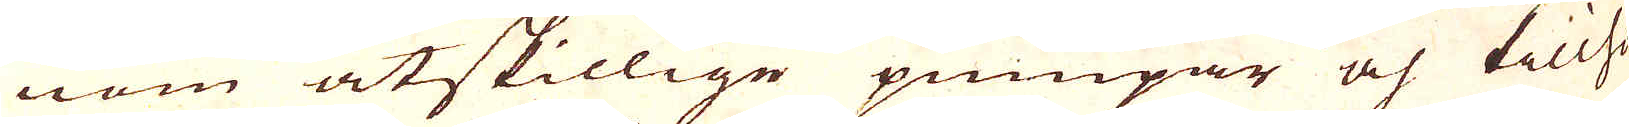nom åtskillige pumpar och tillho-
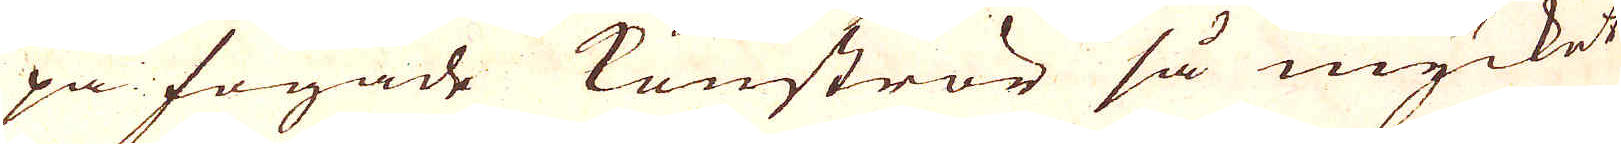pa fogade konströr så mycket
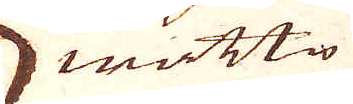wattn
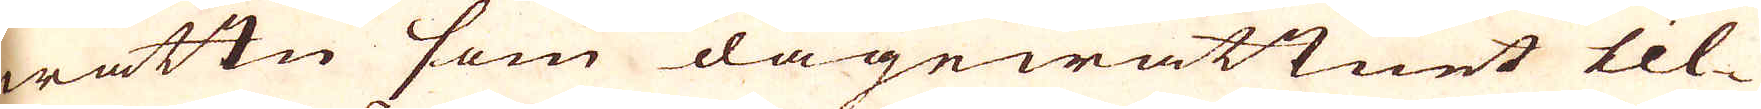wattn som dagewattnet til-
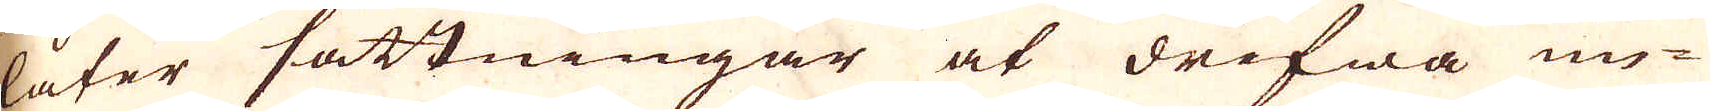låter sättningar at drifwa un-
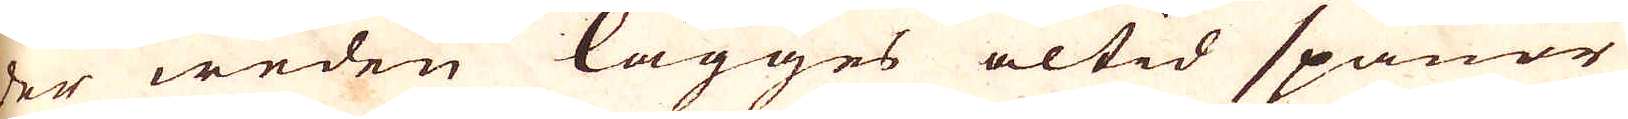der weden lägges altid spånar
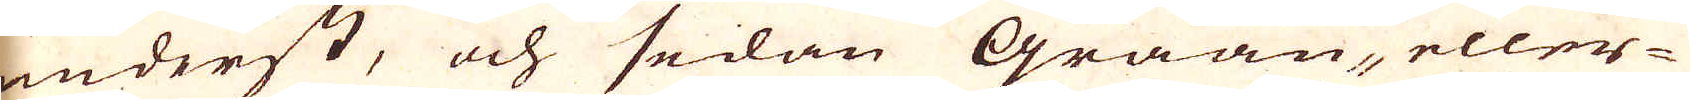underst, och sedan Graan, eller
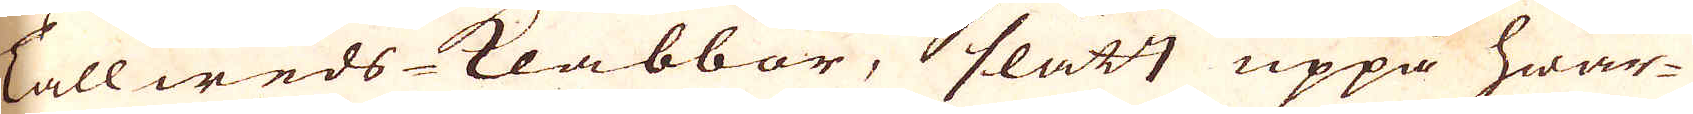Tallweds klabbor, slätt uppå hwar-
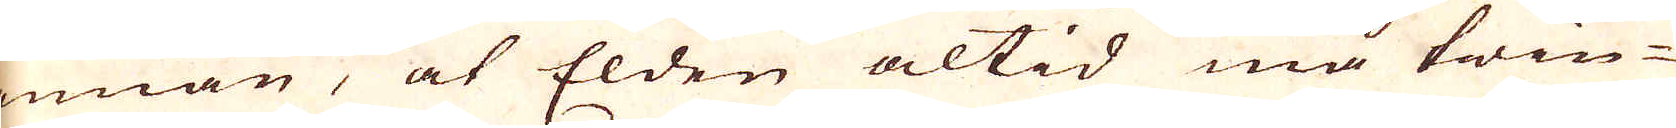annan, at Elden altid må twin-
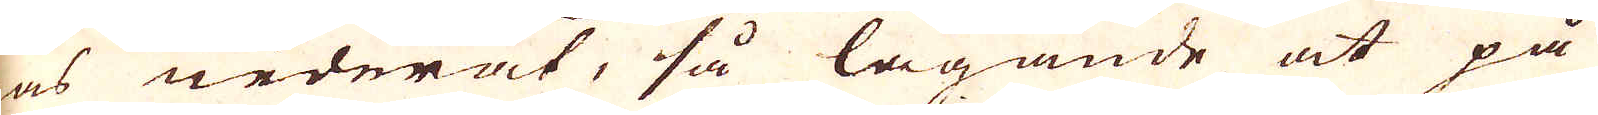gas nederåt, så lagande at på
